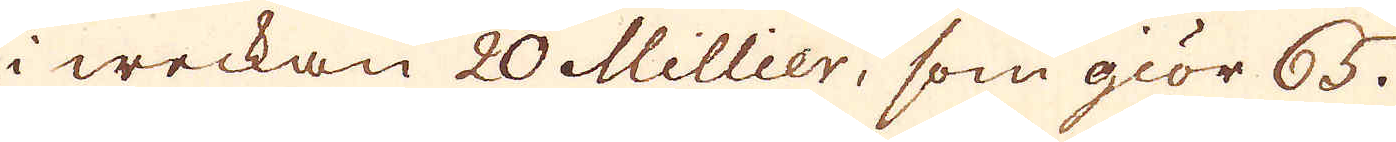i weckan 20 Millier, som giör 65.
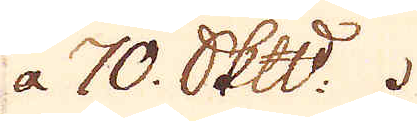a 70. Skeppund.
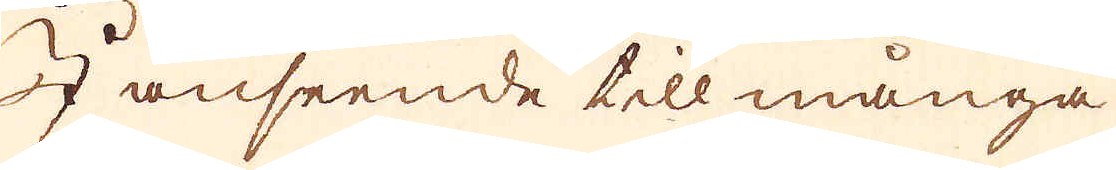I anseende till många
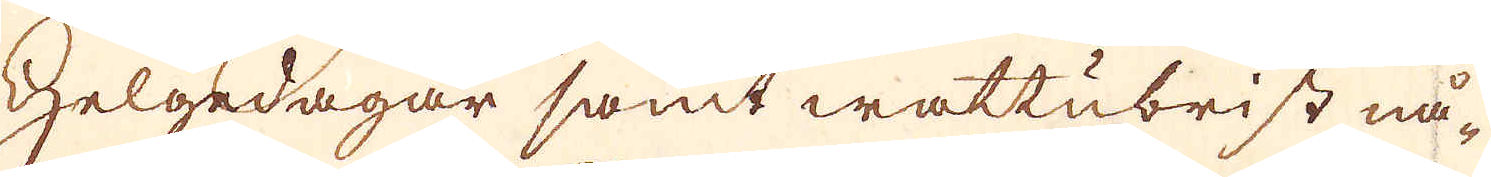helgedagar samt wattubrist nå-
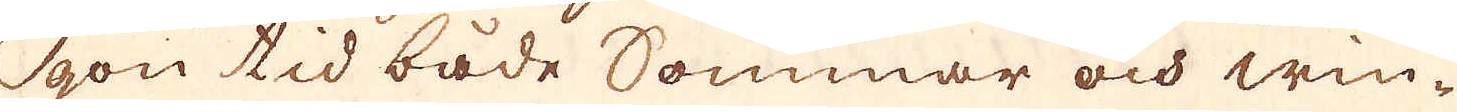gon tid både Sommar och win-
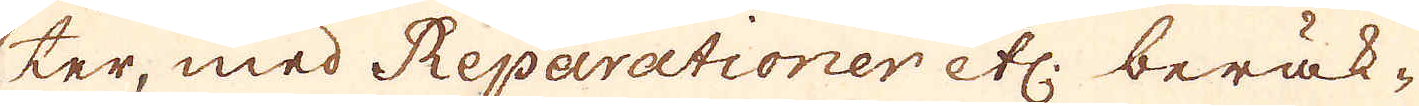ter, med Reparationer etc. beräk-
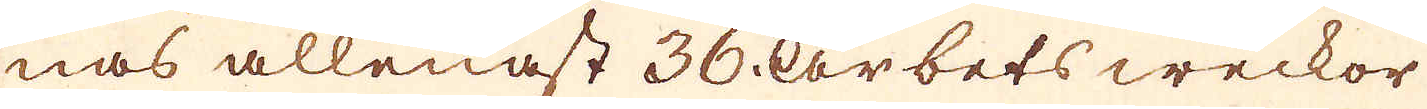nas allenast 36 arbets weckor
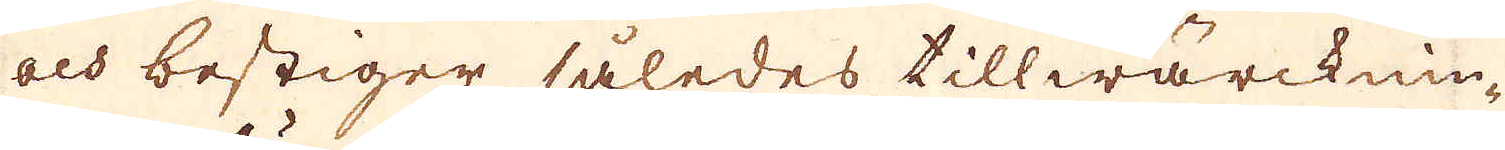och bestiger således tillwärcknin-
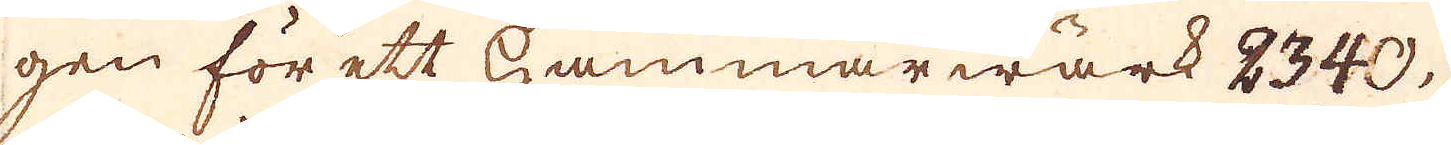gen för ett Hammarwärk 2340.
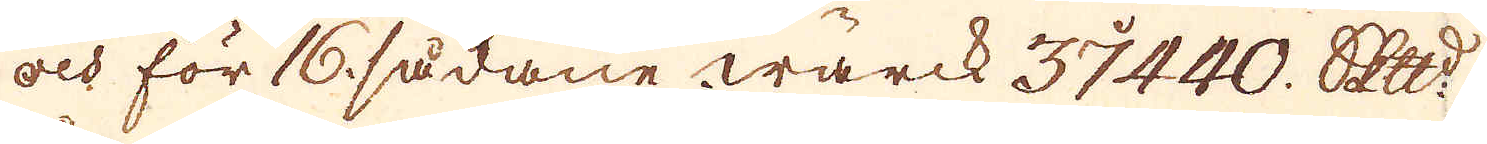och för 16 sådane wärck 37440 Skeppund
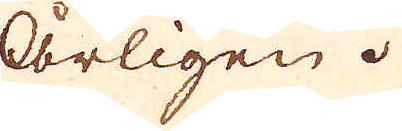Årligen.
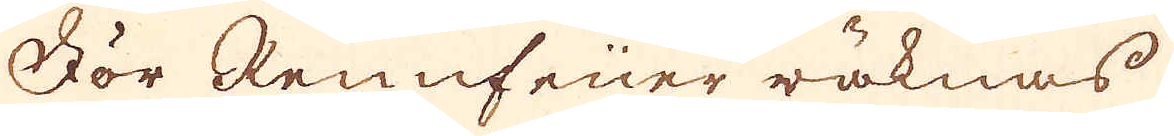För Rennfeüer räknas
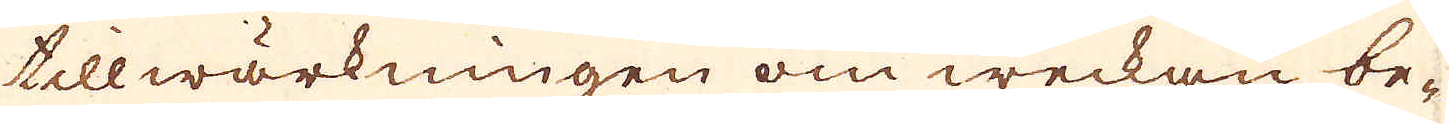tillwärkningen om weckan be-
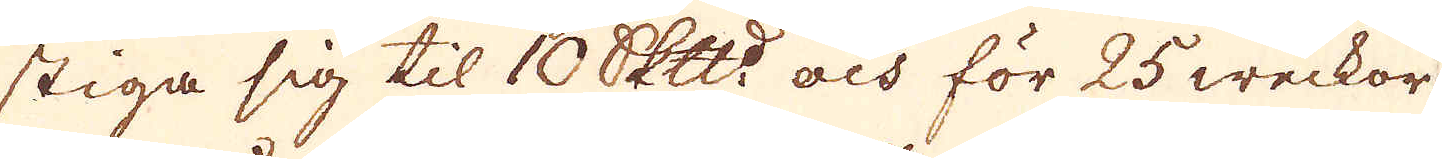stiga sig til 10 Skeppund och för 25 weckor
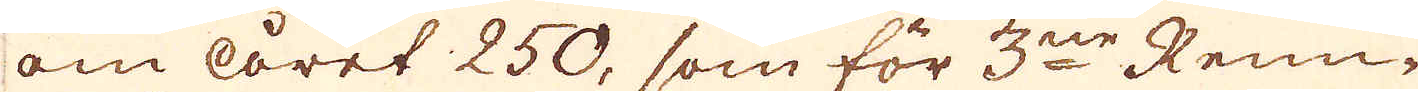om året 250, som för 3ne Renn-
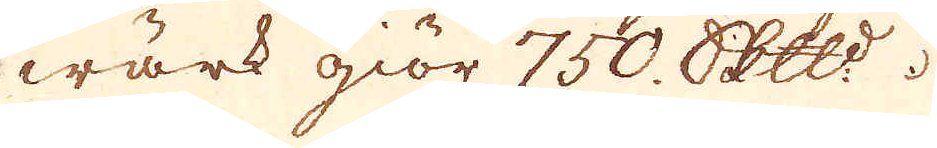wärk giör 750. Skeppund
